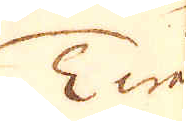Twå
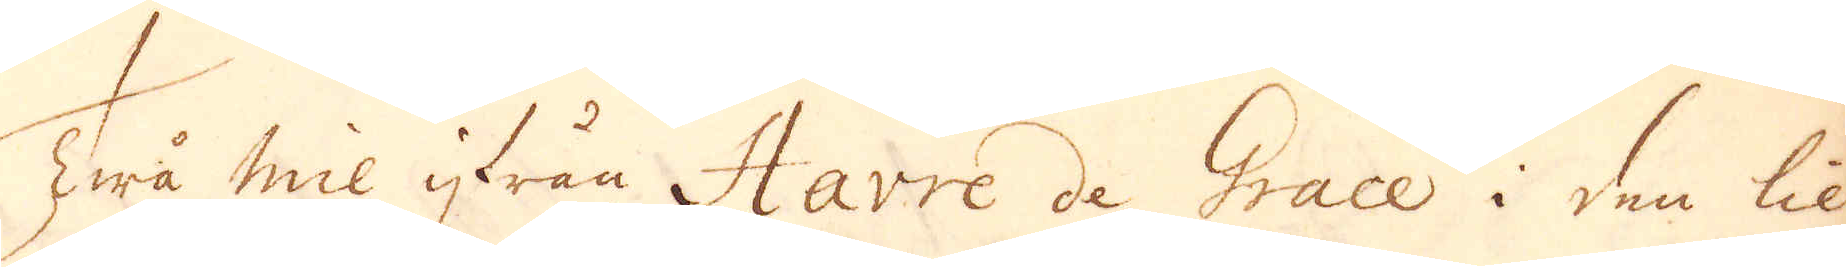Twå mil ifrån Havre de Grace i den lil-
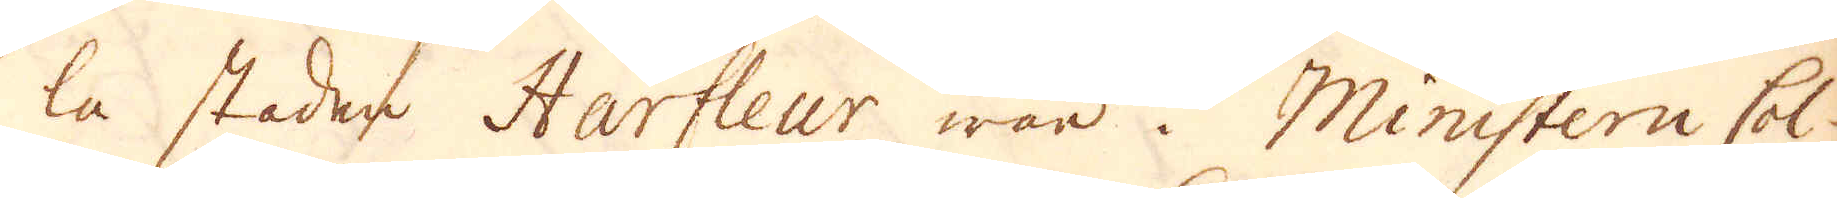la staden Harfleur war i Ministern Col-
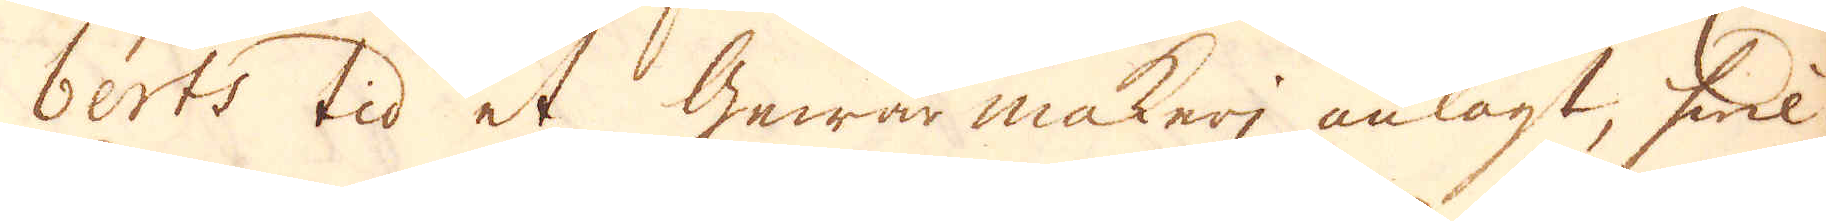berts tid et Gewärmakeri anlagt, hwil-
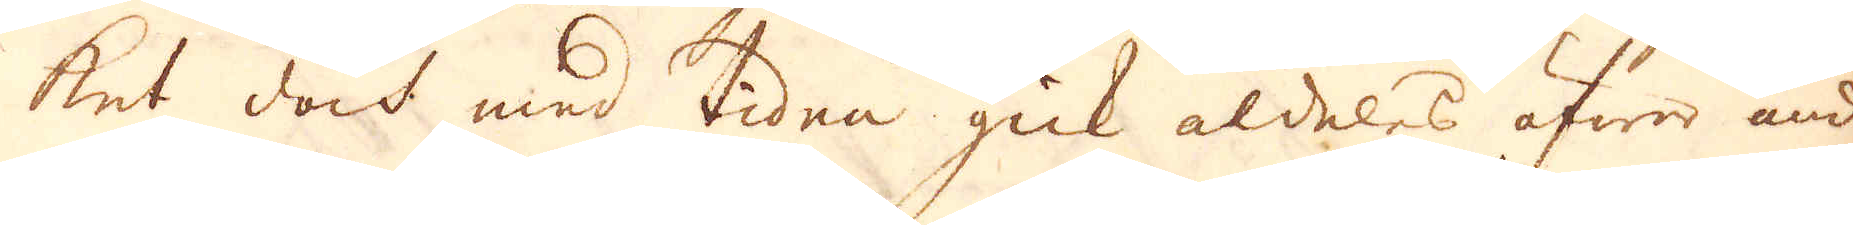ket doch med tiden gick aldeles öfwer änd.
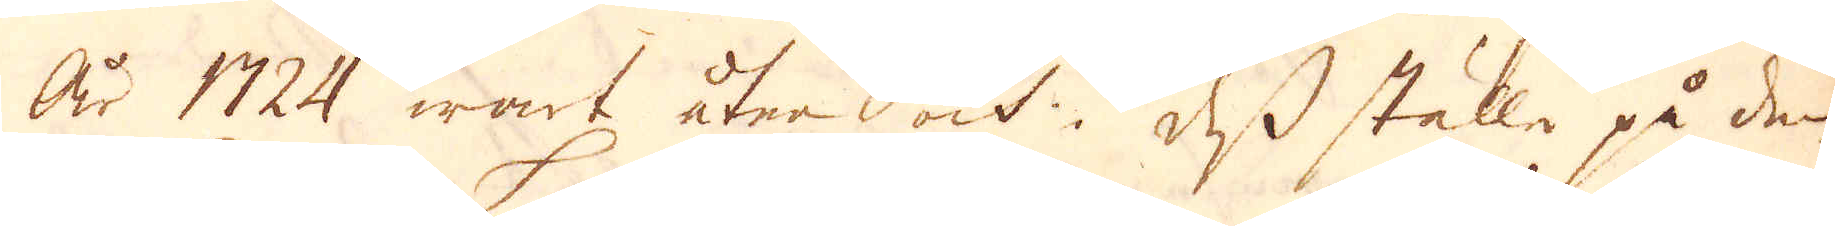År 1724 wart åter och i dess ställe på den
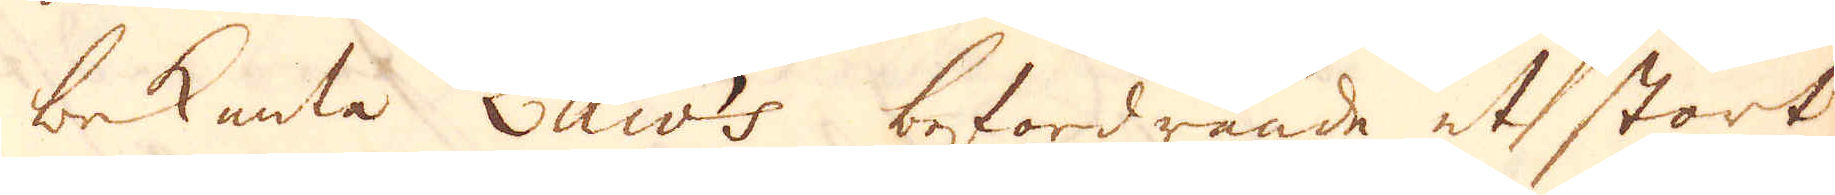bekanta Law's befordrande et stort
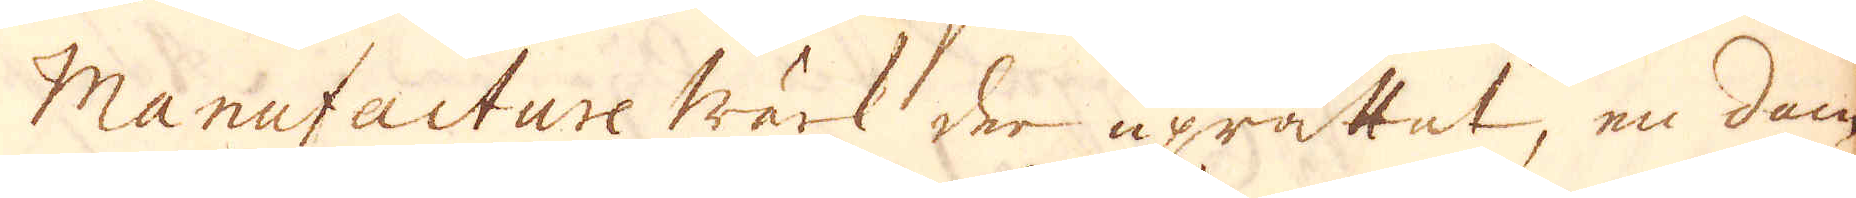Manufacture wärk der uprättat, en dam
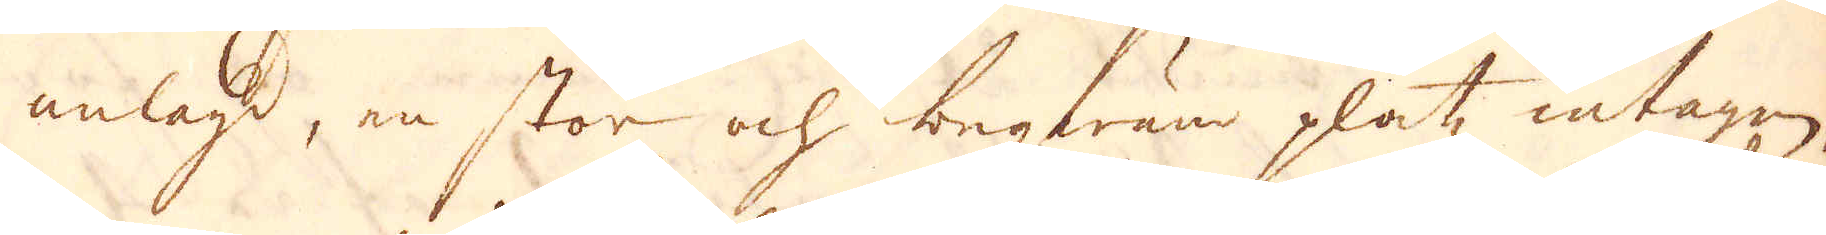anlagd, en stor och beqwän platz intagen,
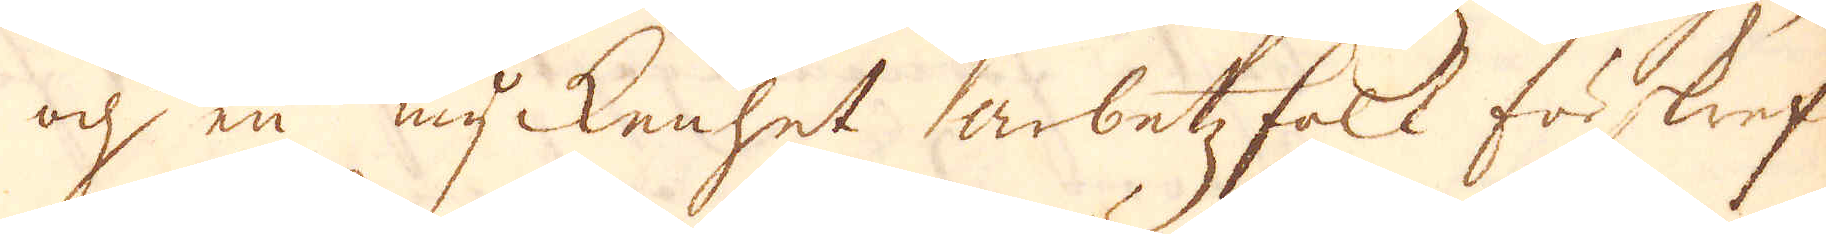och en myckenhet arbetzfolk förskref-
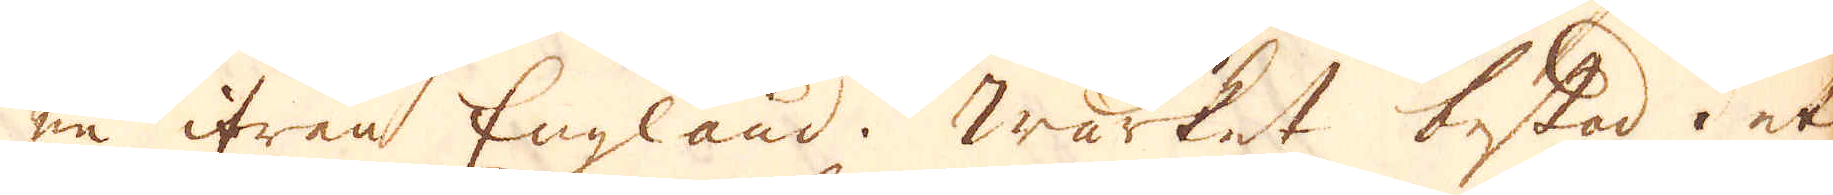ne ifrån England. Wärket bestod i et
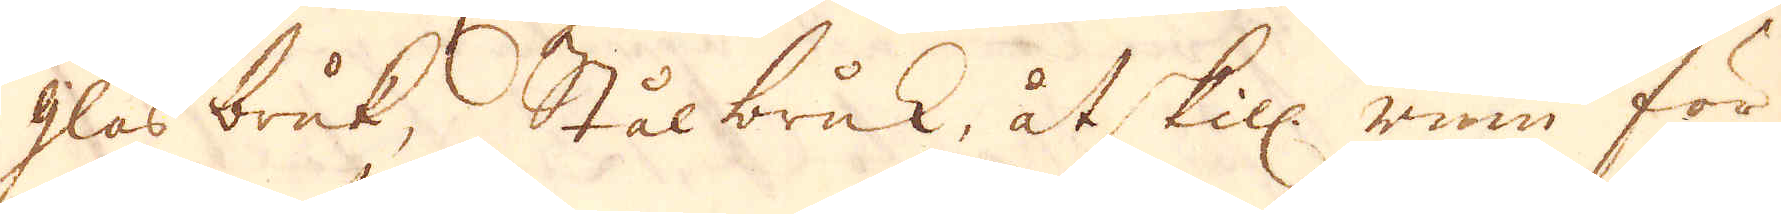glas bruk, Stålbruk, åtskill: rum för
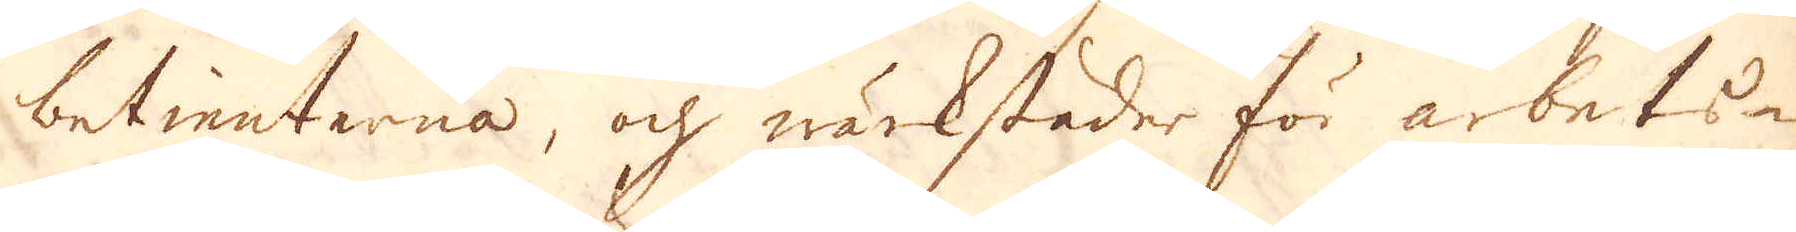betienterna, och wärkstäder för arbets-
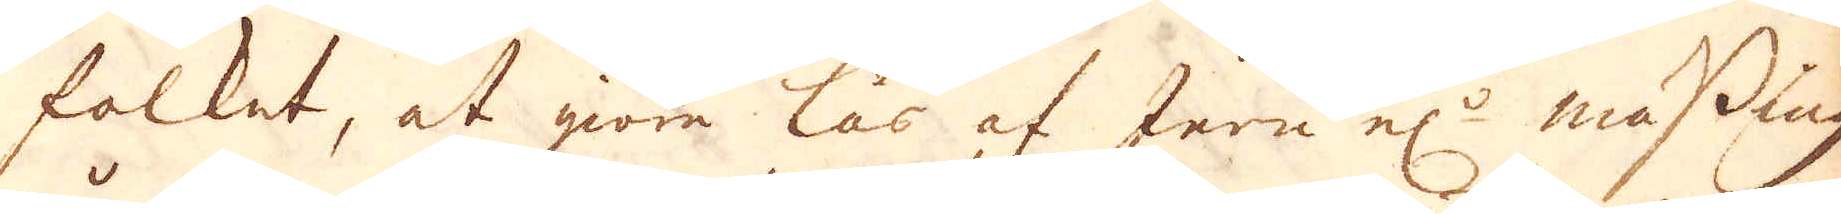folket, at giöre lås af Jern el:r mässing,
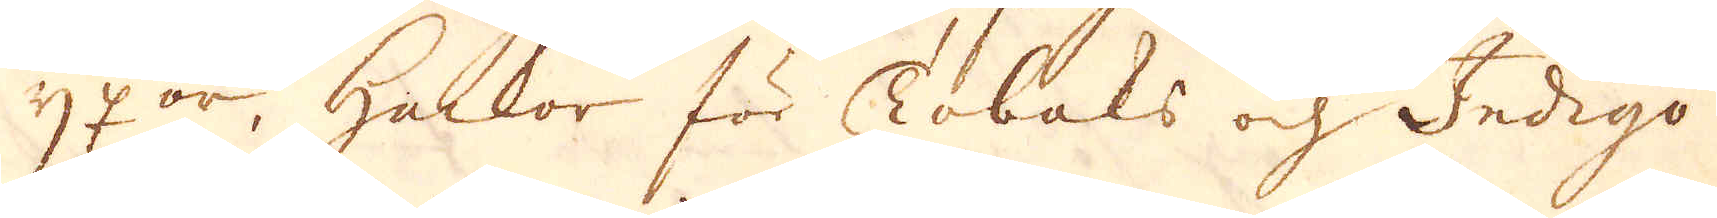yxor, hackor för Tobaks och Indigo-
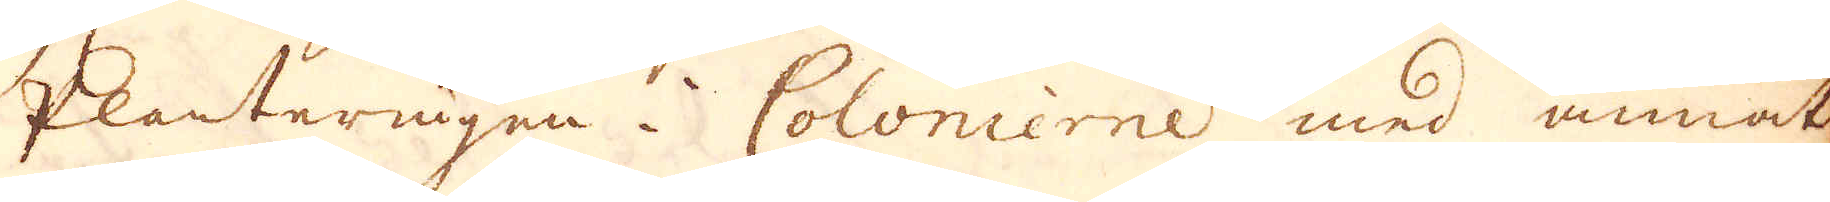Planteringen i Colonierne med annat
